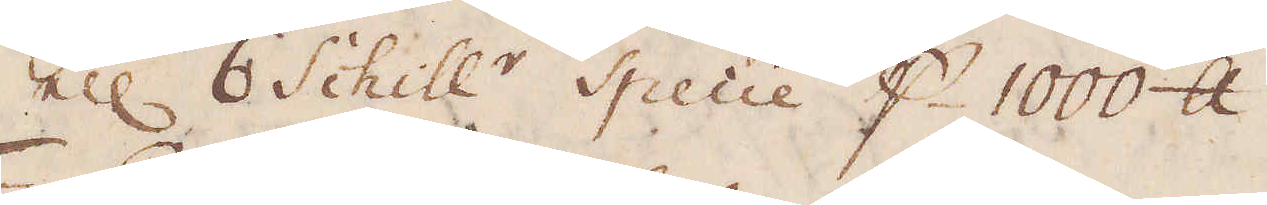ell: 6 Schill:r Specie p 1000 skålpund.
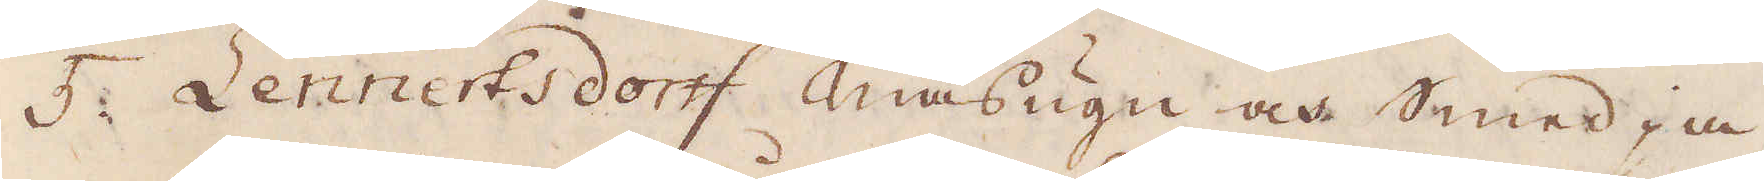5. Lennertsdorff masugn och smedja,
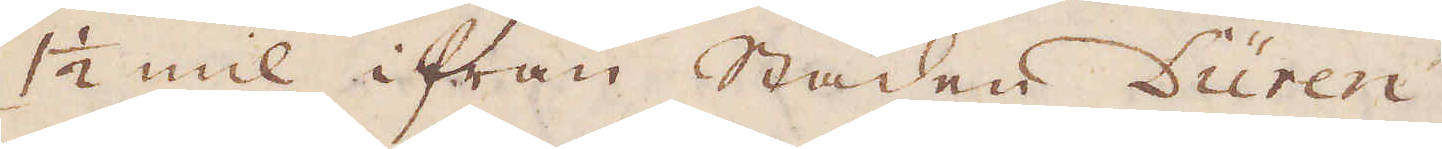1 1/2 mil ifrån Staden Düren.
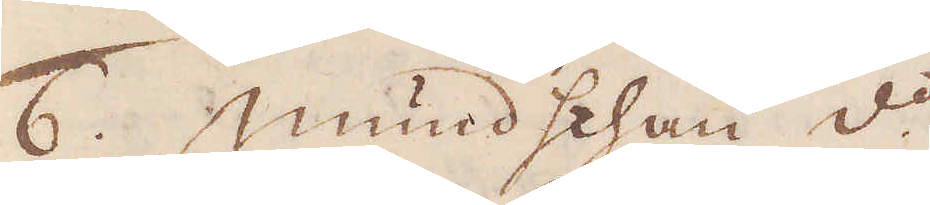6. Mundschau d:o
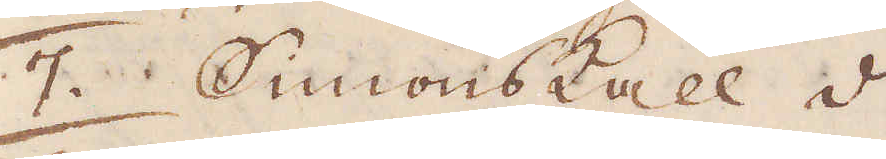7. Simonskall d:o
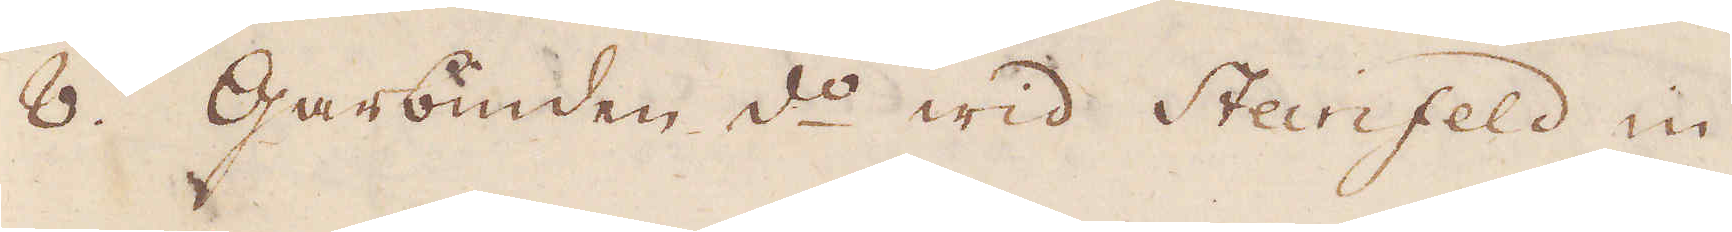8. Garbunden d:o wid Steinfeld in
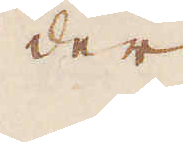der
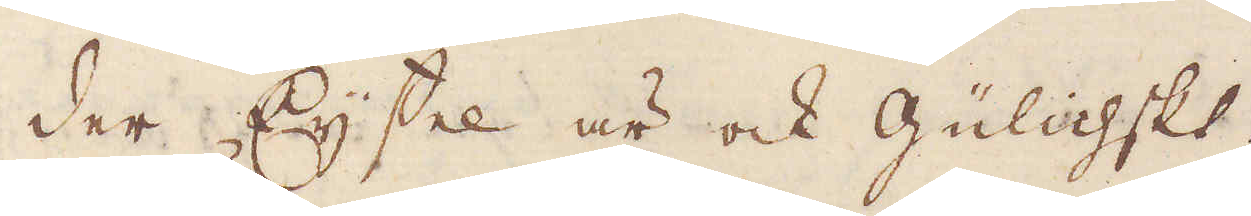der Eijfel är ock Gülichskt.
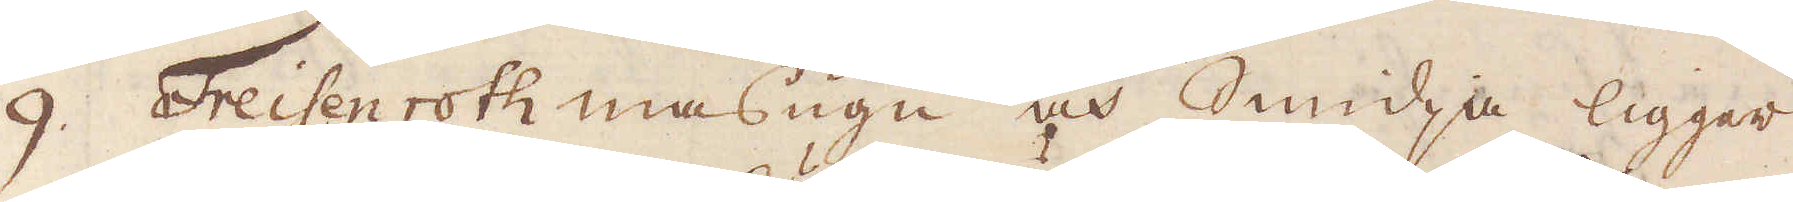9. Freisenroth masugn och Smidja ligger
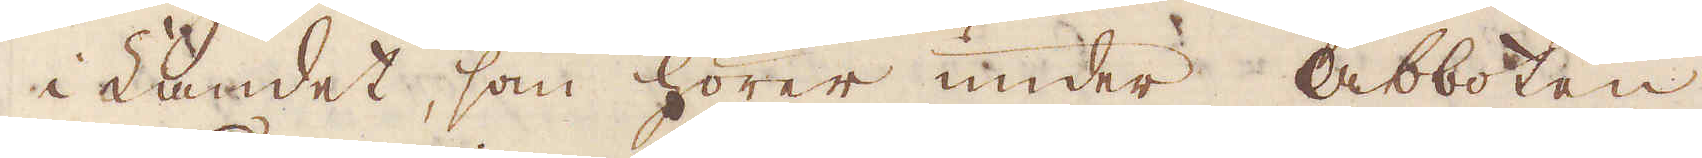i Landet, som hörer under Abboten
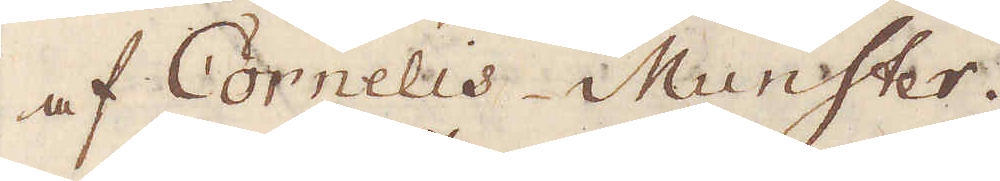af Cornelis Munster.
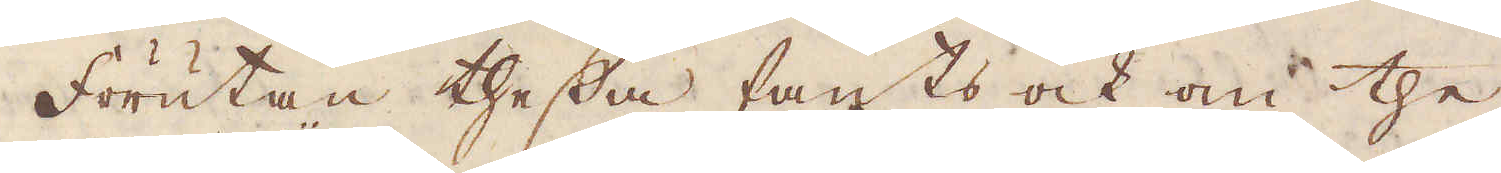Förutan thessa fants ock om the
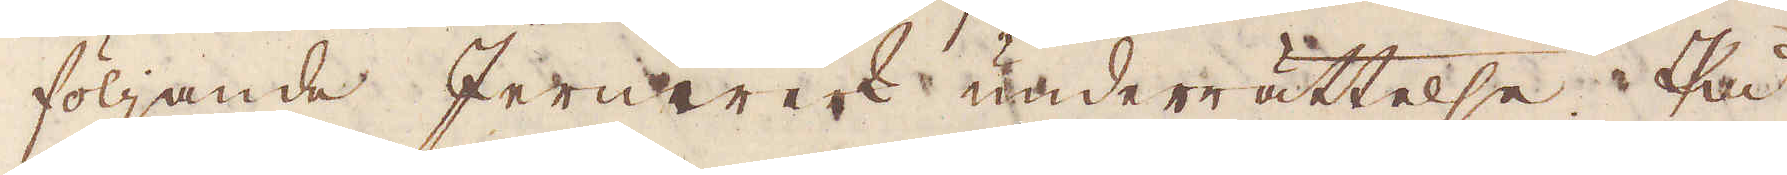följande Jernwerk underrättelse. På
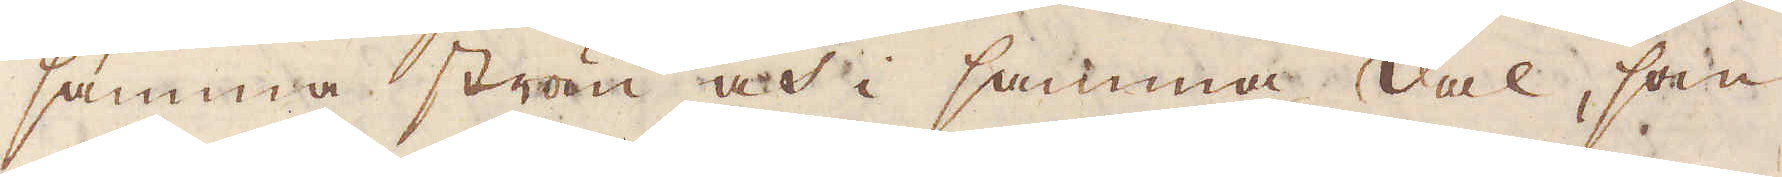samma strön och i samma dal, som
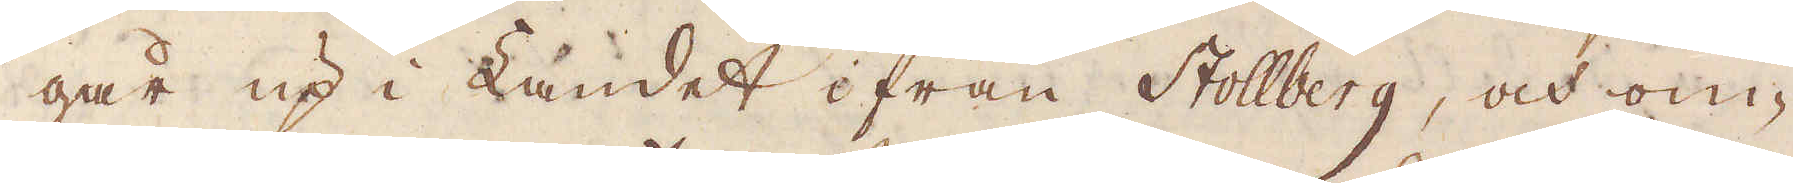går up i Landet ifrån Stollberg, och om-
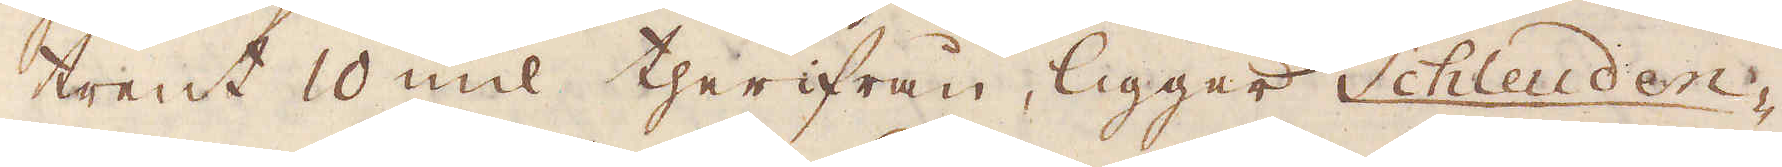trent 10 mil therifrån, ligger Schleuden-
